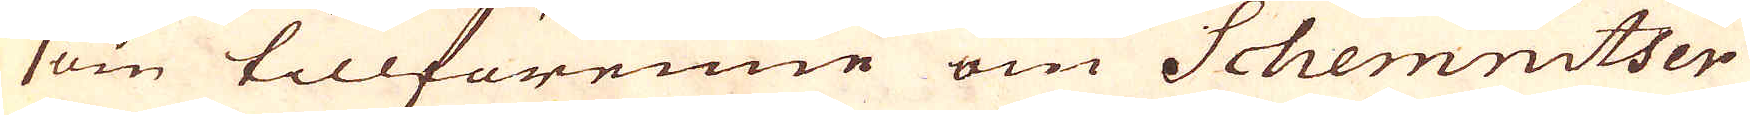som tillförenne om Schemnitser
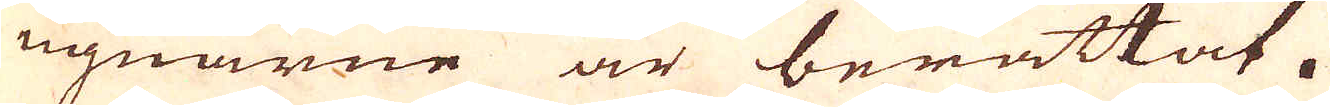ugnarne är berättat.
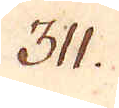311.
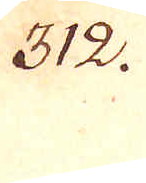312.
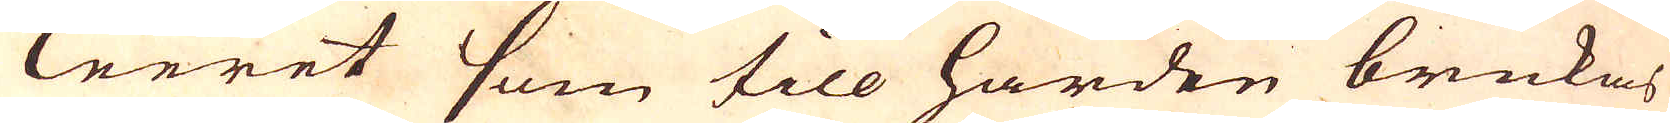Leeret som till härden brukas
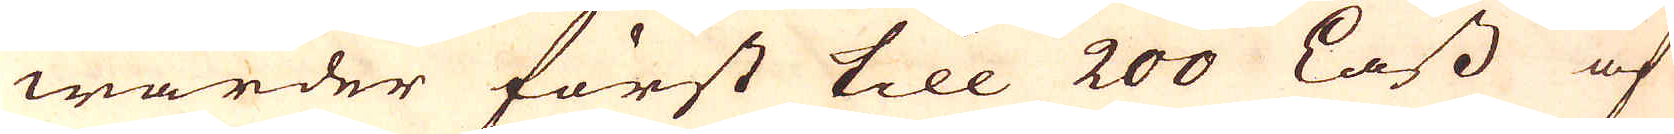warder först till 200 Lass af
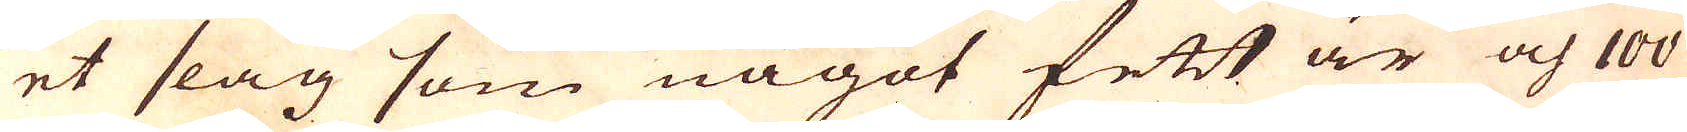et slag som något fett är och 100
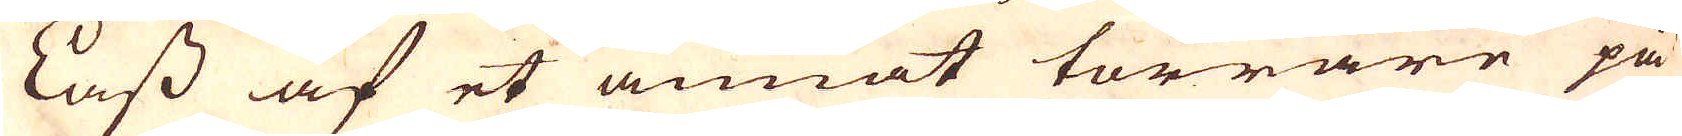Lass af et annat torrare på
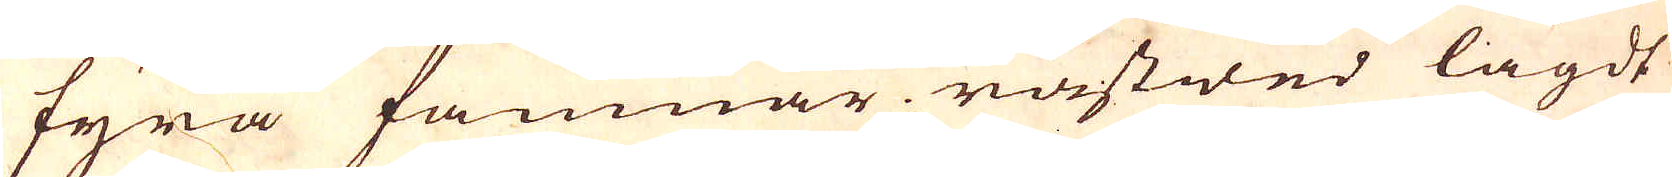fyra famnar råstwed lagdt
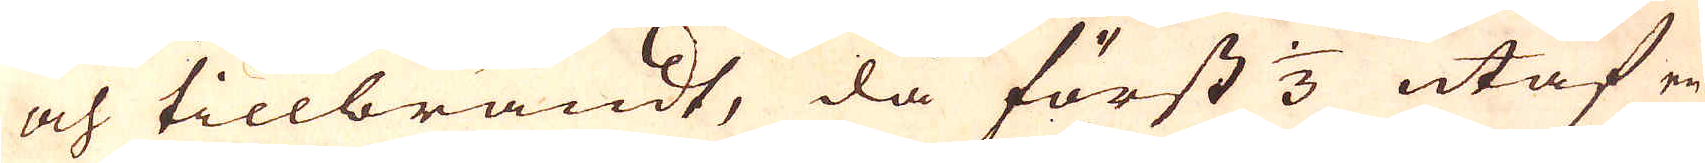och tillbrändt, då först 1/3 utaf en
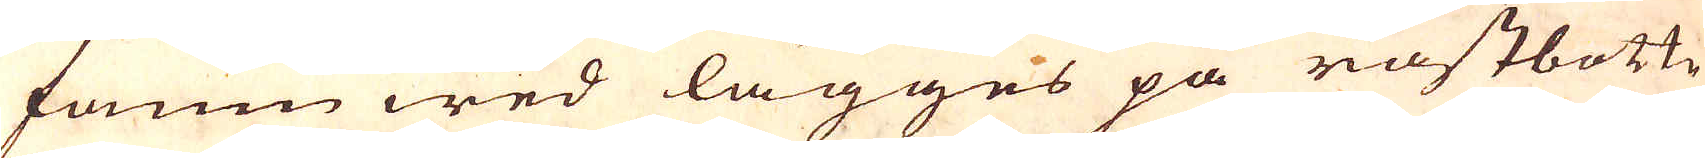famn wed lägges på råstbottn
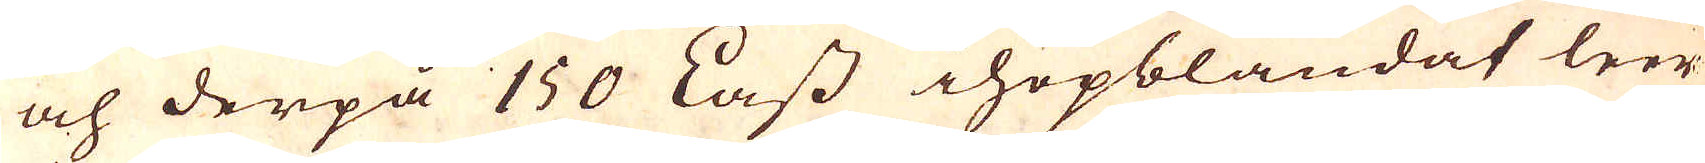och derpå 150 Lass hopblandat leer
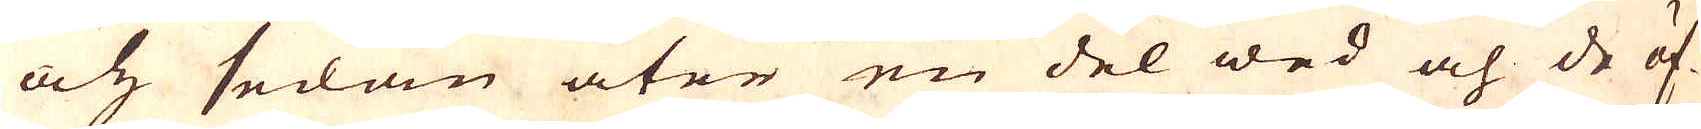och sedan åter en del wed och de öf-
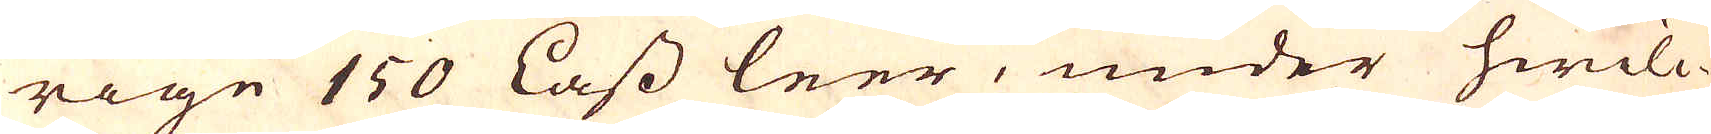rige 150 Lass leer, under hwilc-
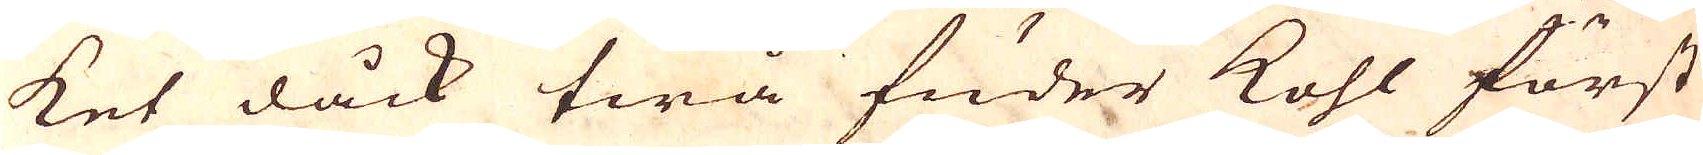ket dåck twå fuder kohl först
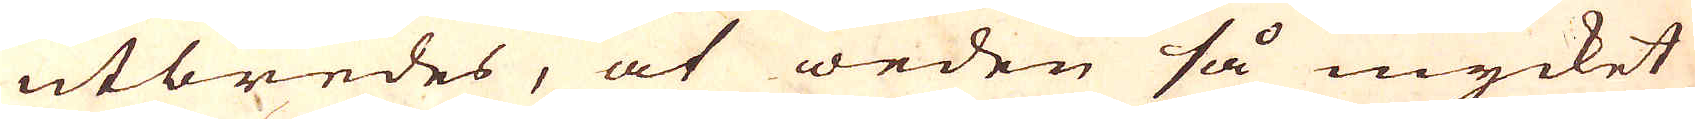utbredes, at weden så mycket
